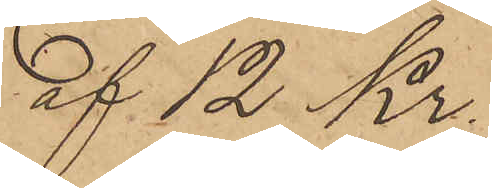af 12 Kr.
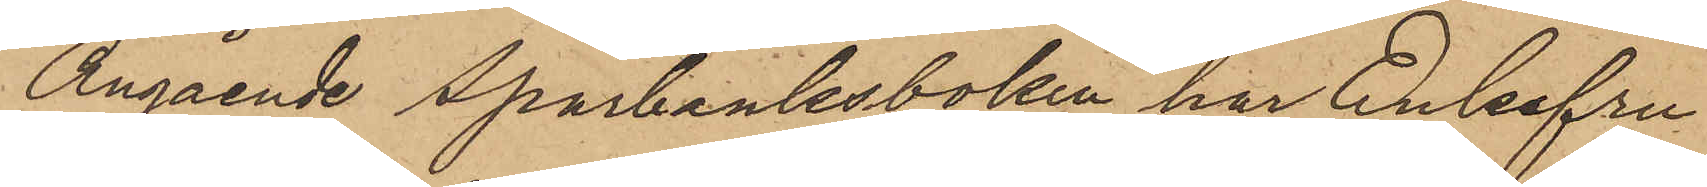Angående Sparbanksboken har Enkefru
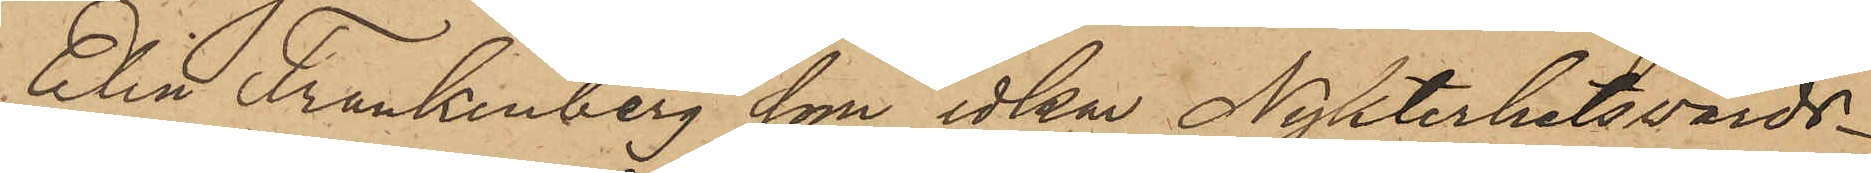Elin Frankenberg, som idkar Nykterhetsvärds¬
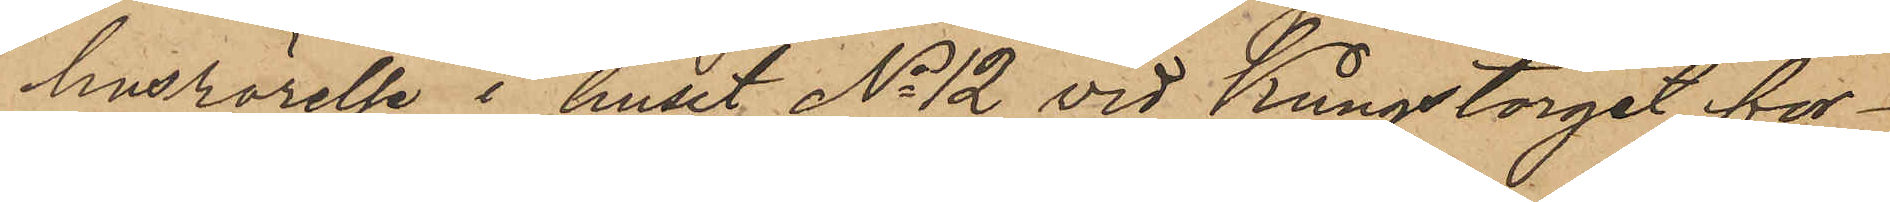husrörelse i huset No 12 vid Kungstorget för¬
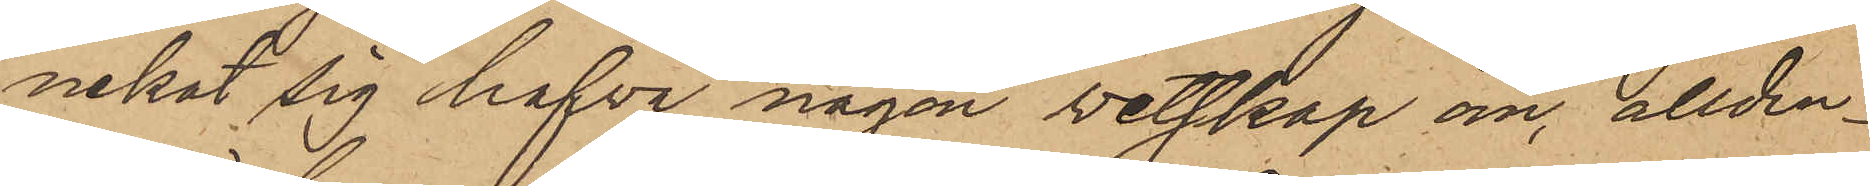nekat sig hafva någon vetskap om, allden¬
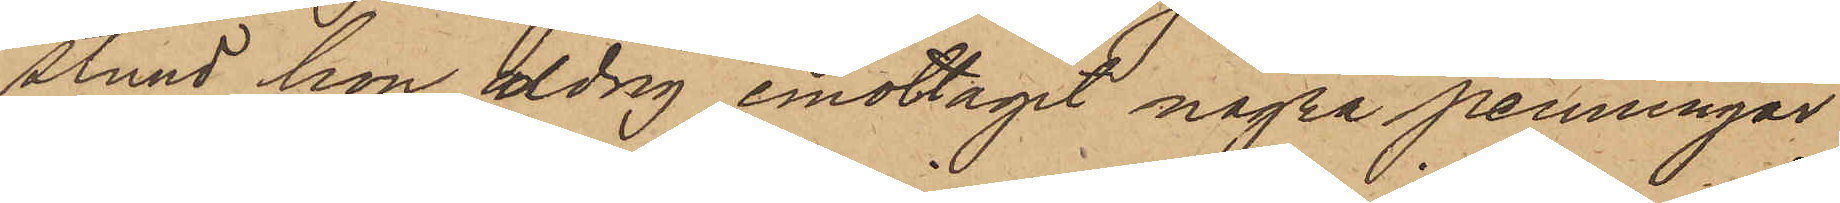stund hon aldrig emottagit några penningar
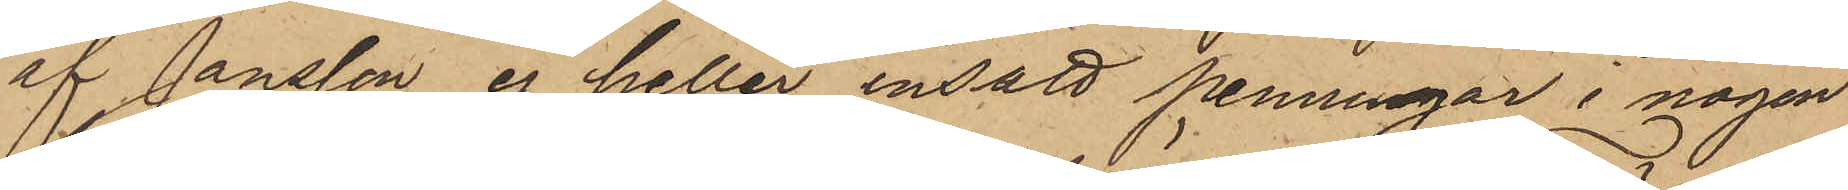af Jansson ej heller insatt penningar i någon
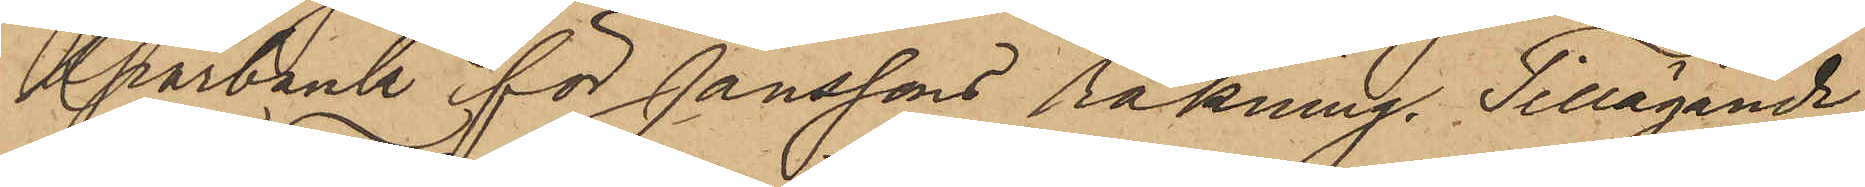Sparbank för Janssons räkning. Tillägande
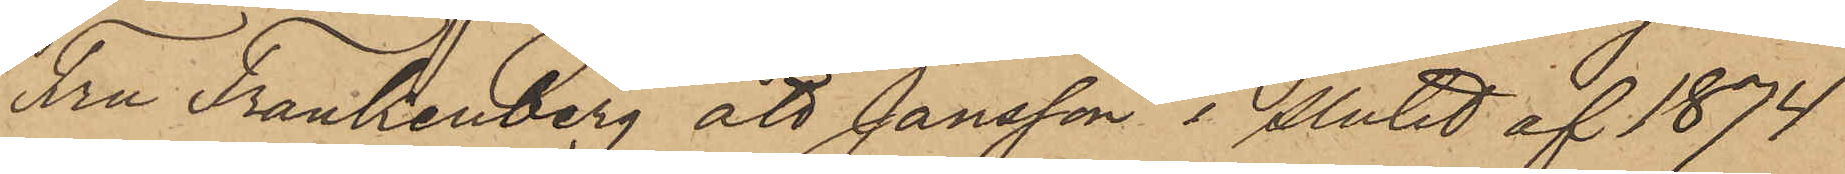Fru Frankenberg att Jansson i slutet af 1874
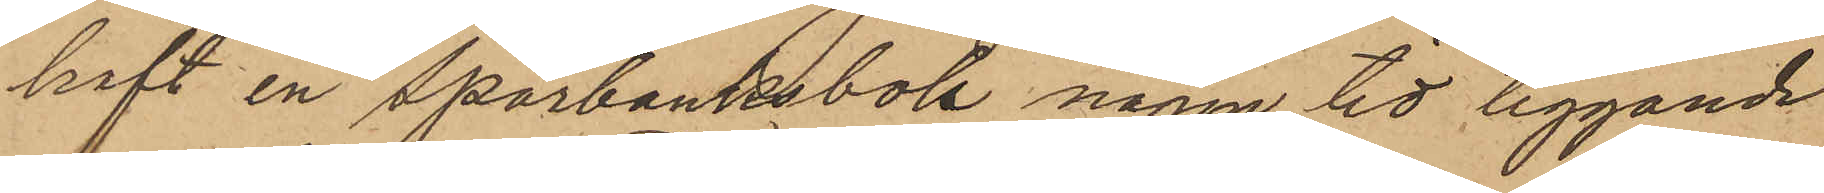haft en Sparbanksbok någon tid liggande
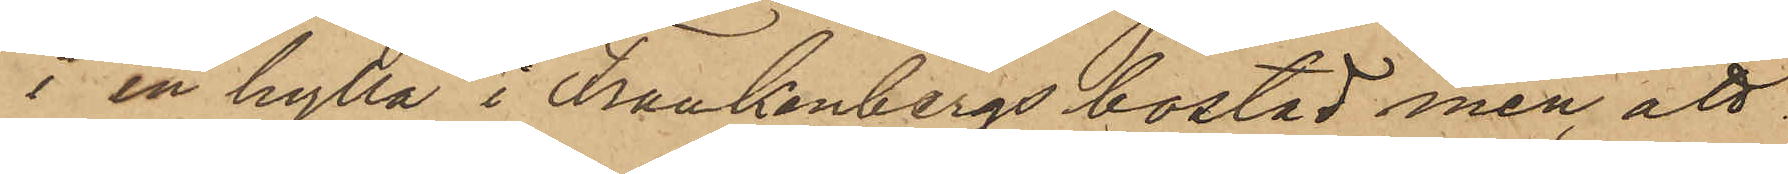i en hylla i Frankenbergs bostad men att
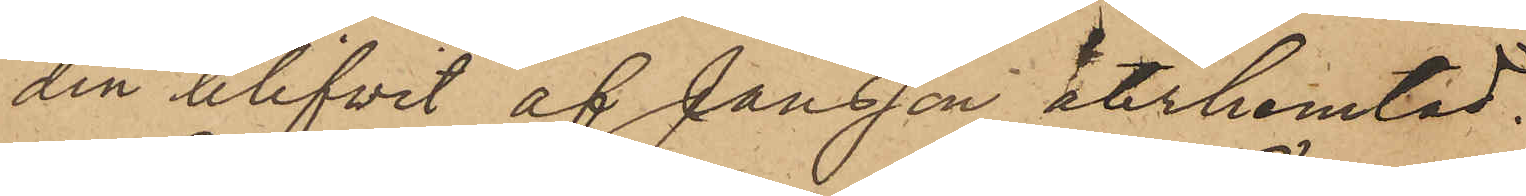den blifvit af Jansson återhemtad.
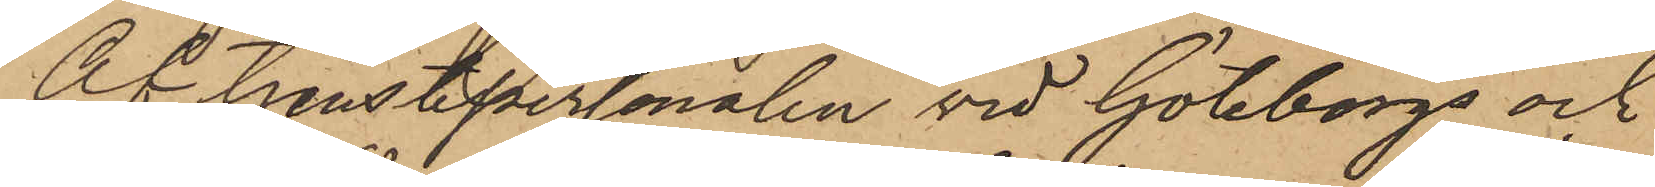Af tjenstepersonalen vid Göteborgs och
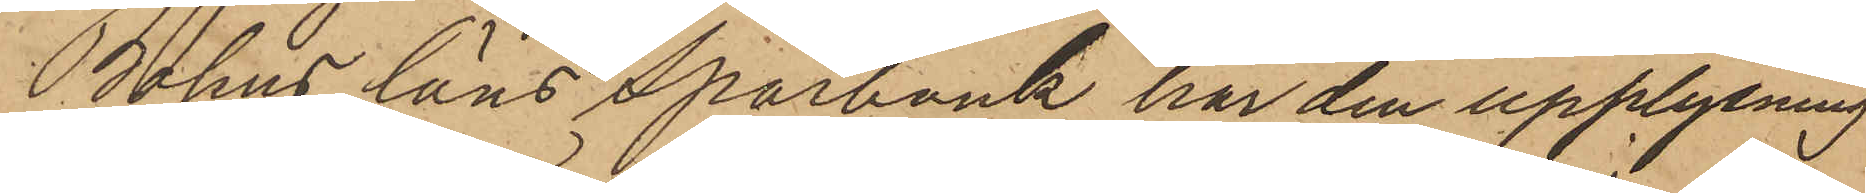Bohus läns Sparbank har den upplysning
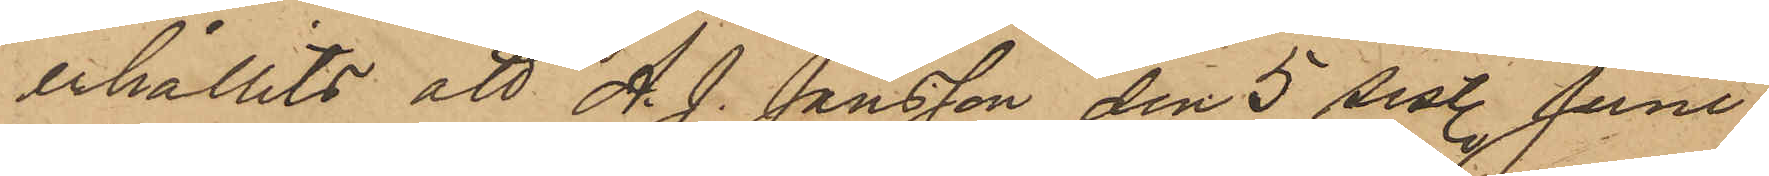erhållits att A. J. Jansson den 5 sist. Juni
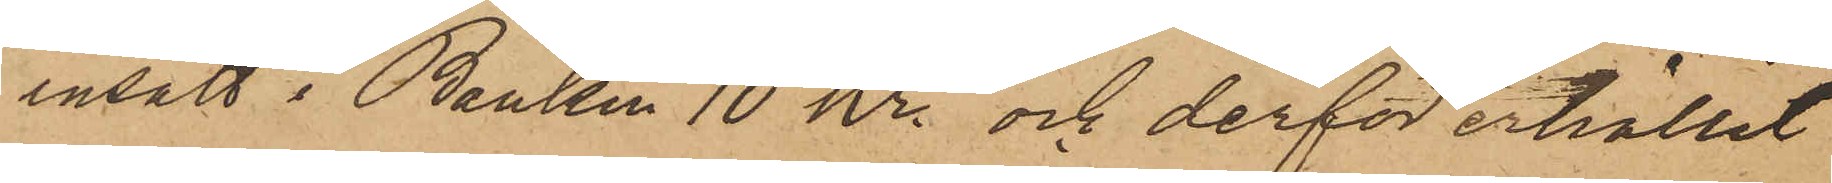insatt i Banken 10 kr. och derför erhållit
